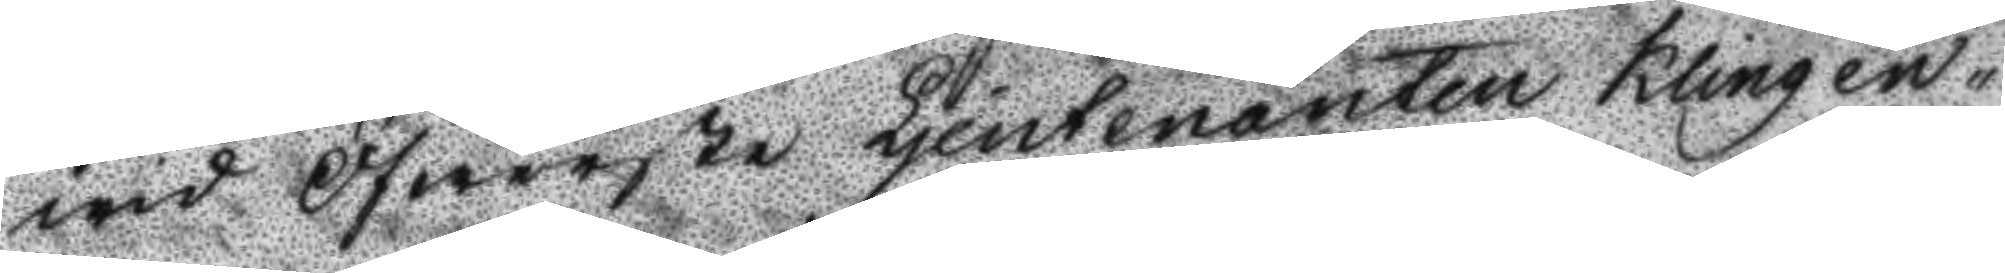wid Öfwerste Ljeutenanten Klingen¬
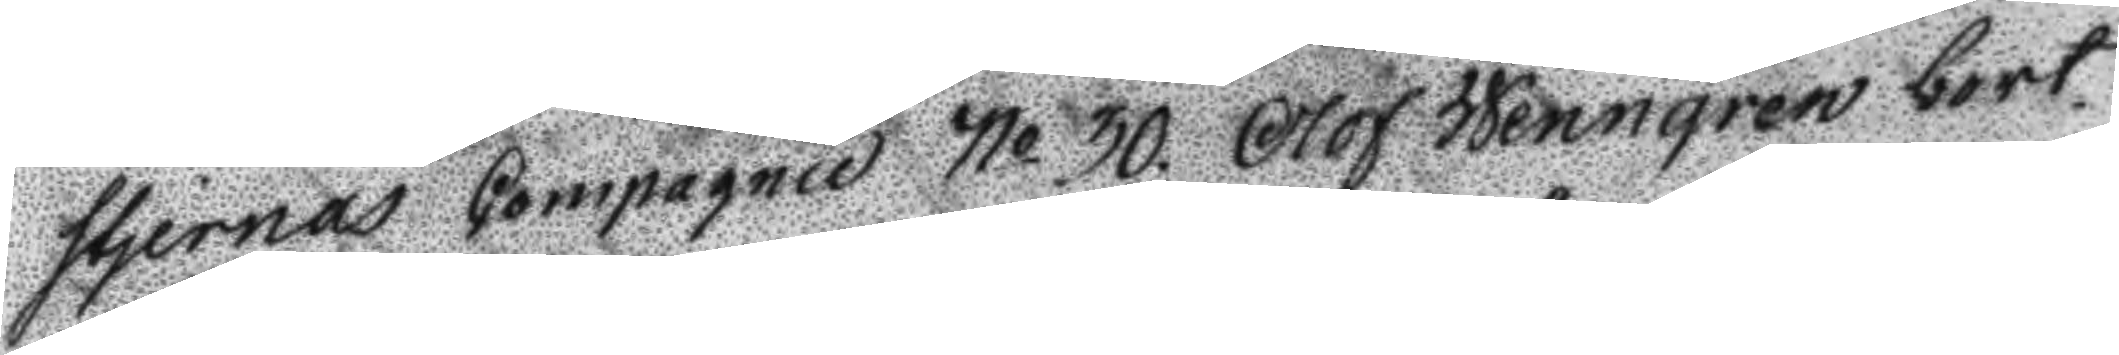stjernas Compagnie No 30. Olof Wenngren bort¬
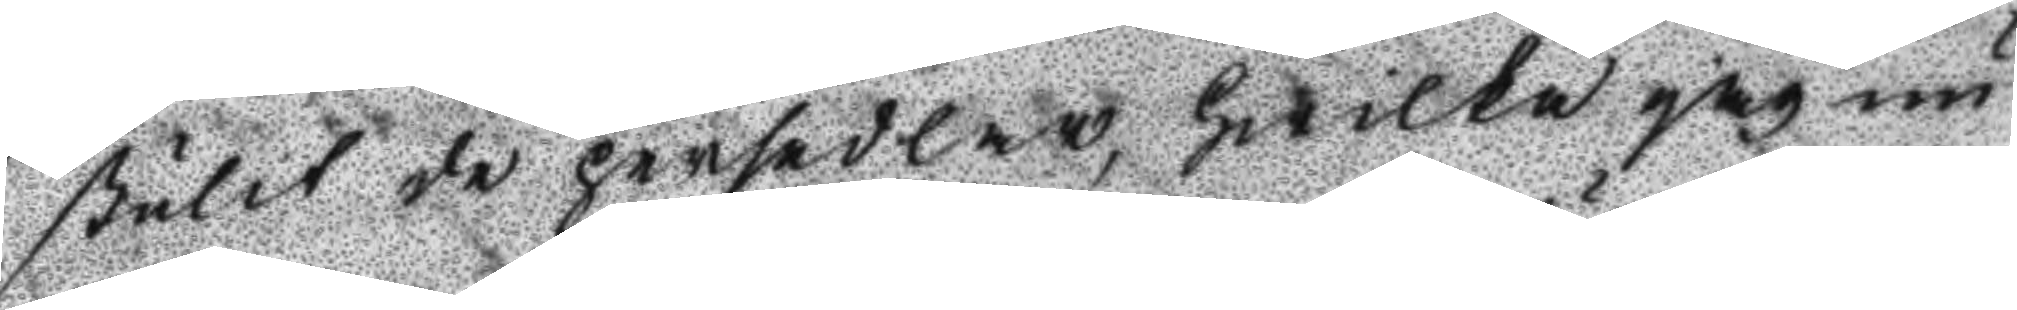stulit de persedlar, hwilka jag nu
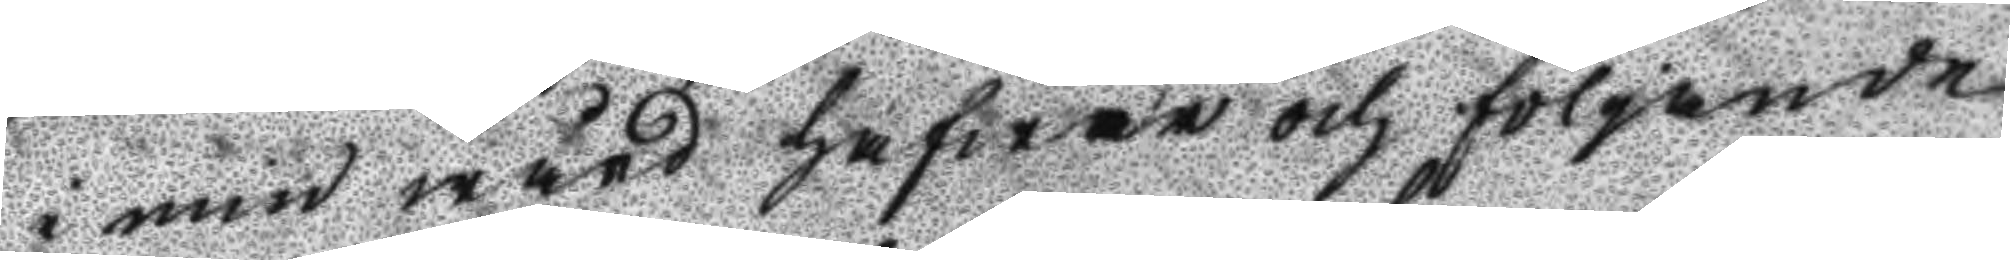i min wård hafwer och följande
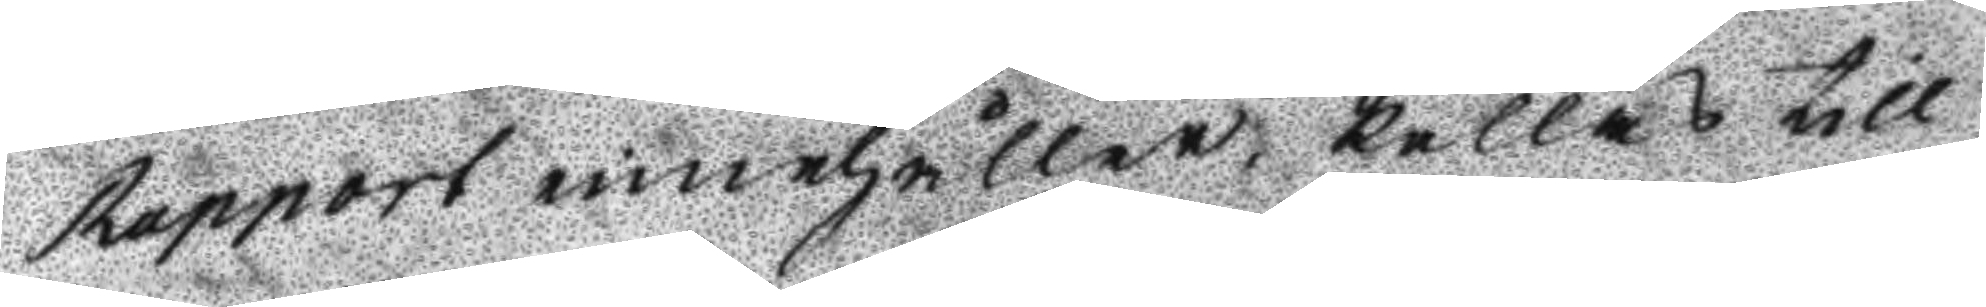Rapport innehåller, kallas till
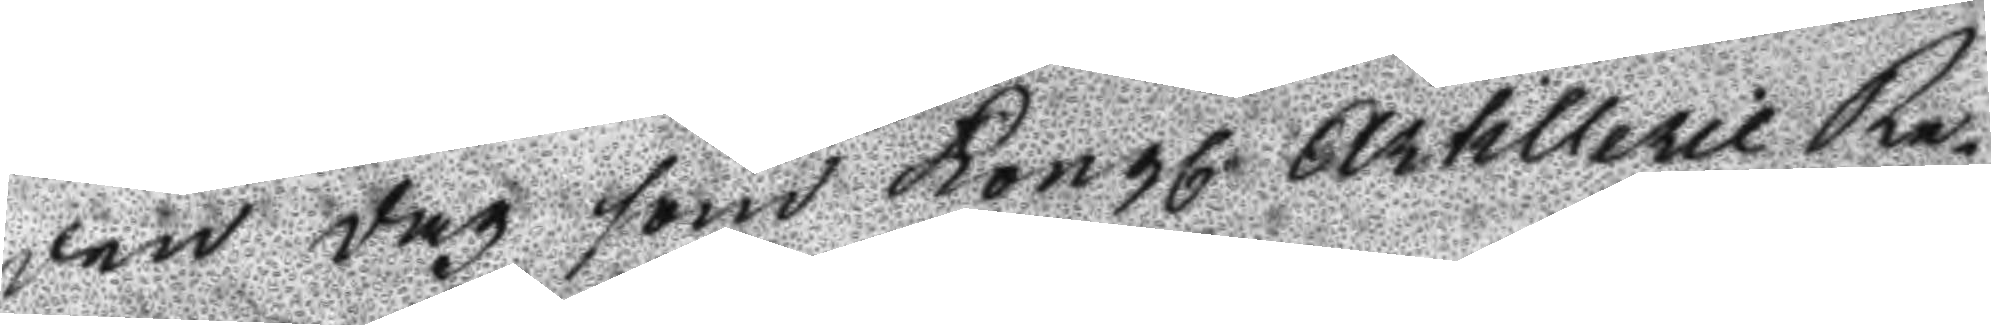den dag som Kongl. Artillerie Re¬
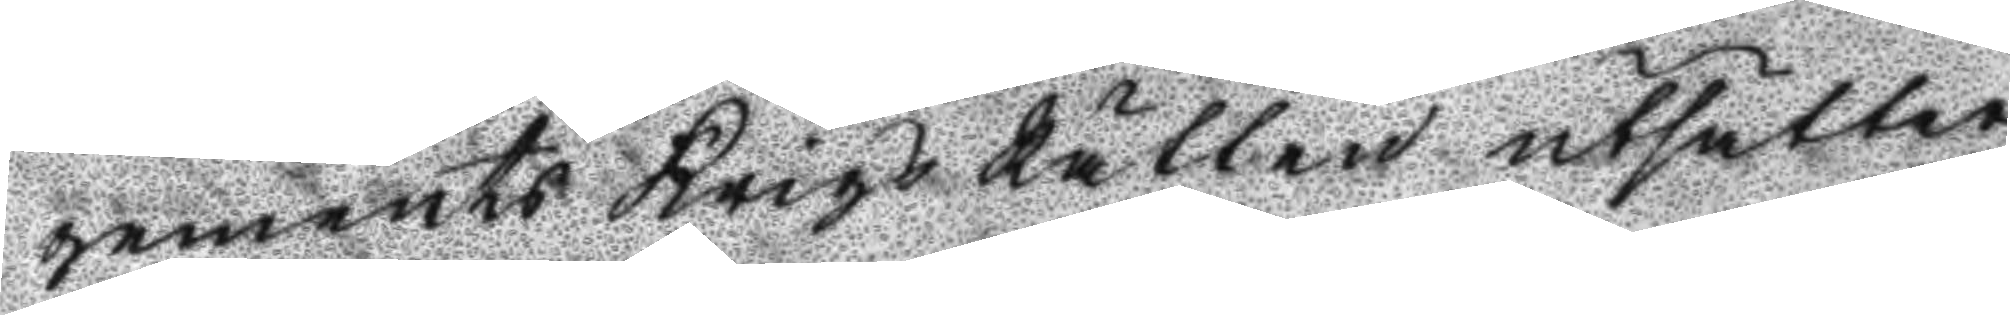gements Krigs Rätten utsätter
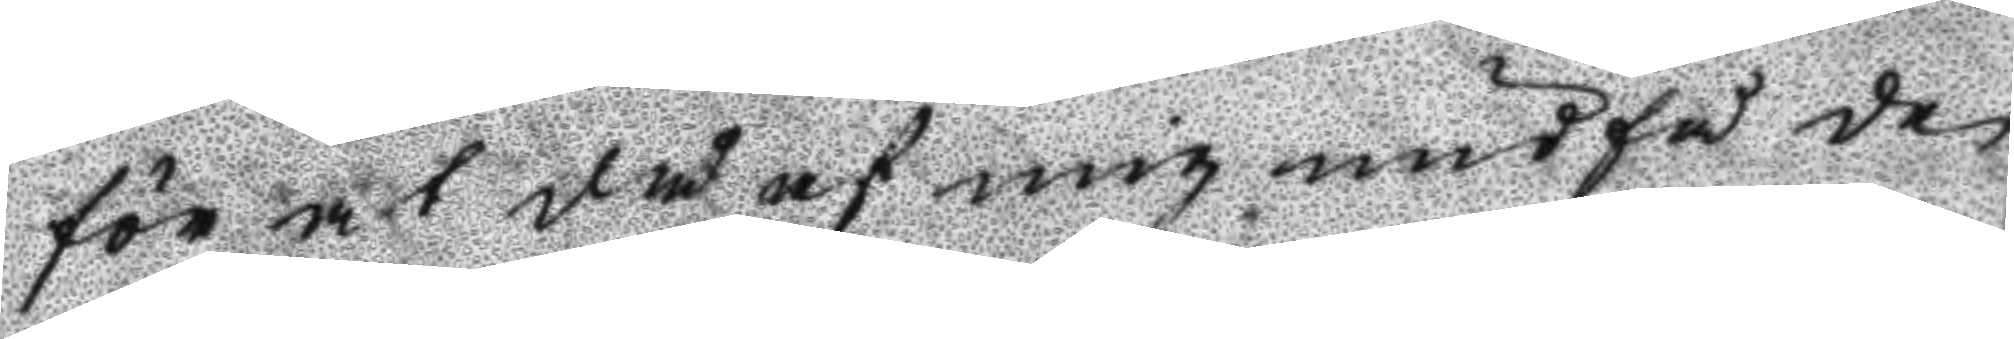för at då af mig undfå de
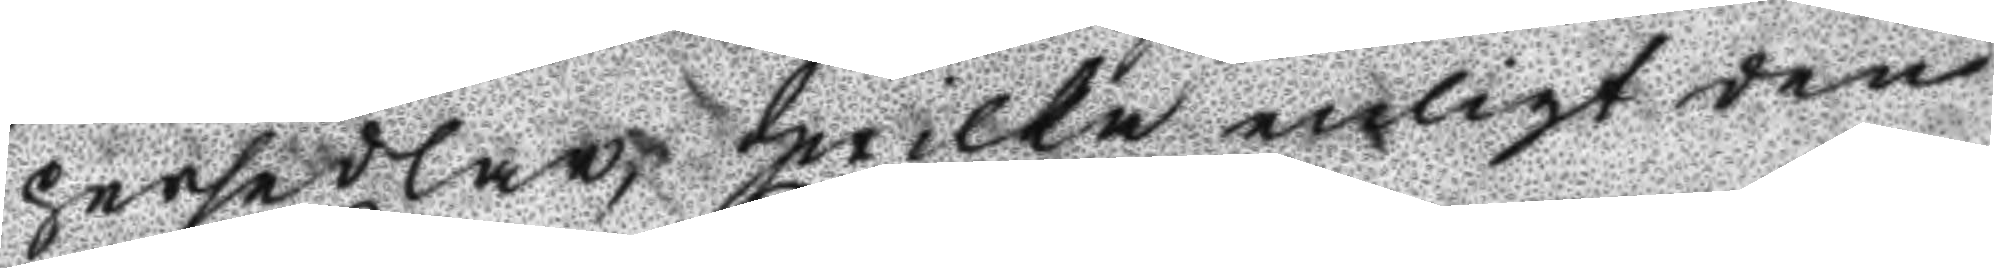persedlar, hwilka enligt den
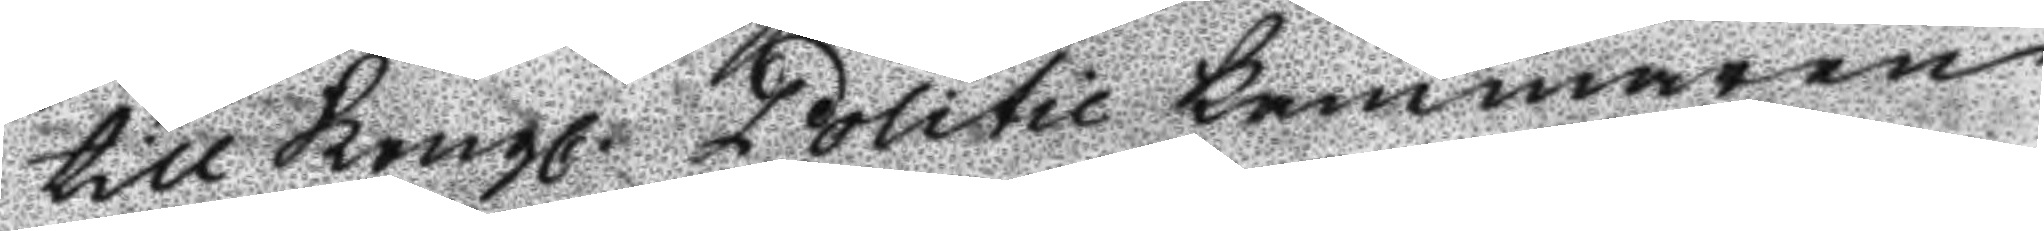till Kongl. Politie kammaren
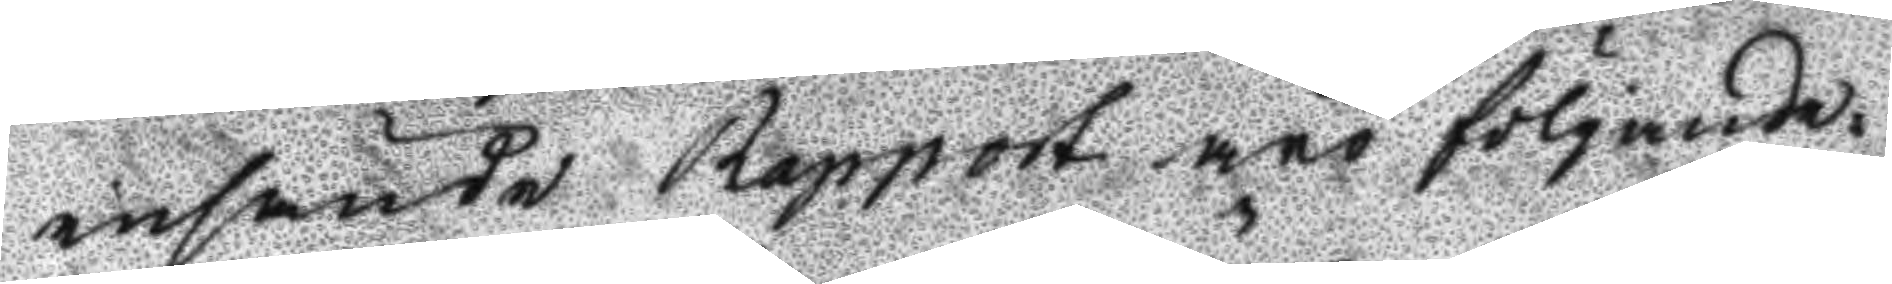insände Rapport äro fölgande:
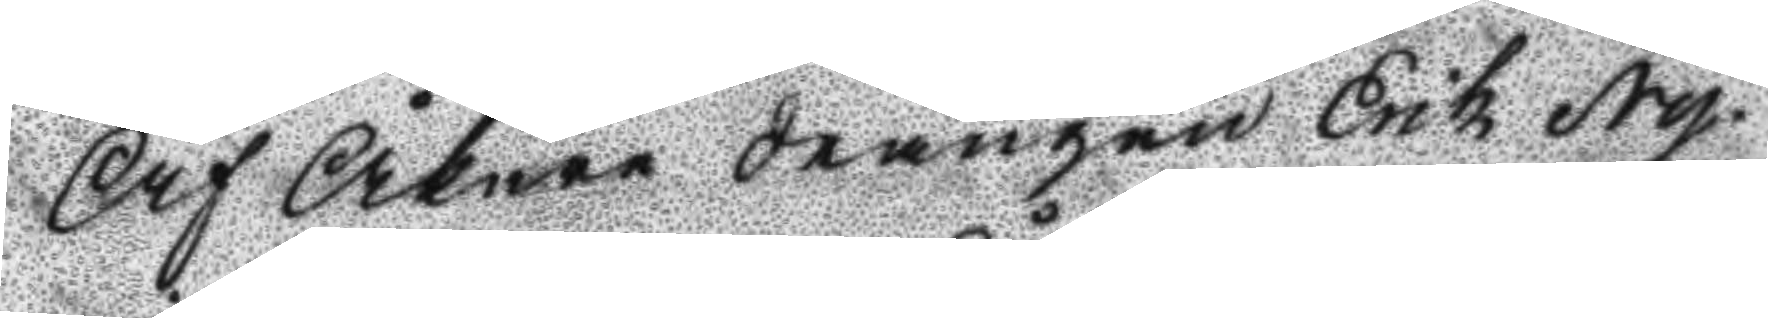Af Åkare drängen Erik Ny¬
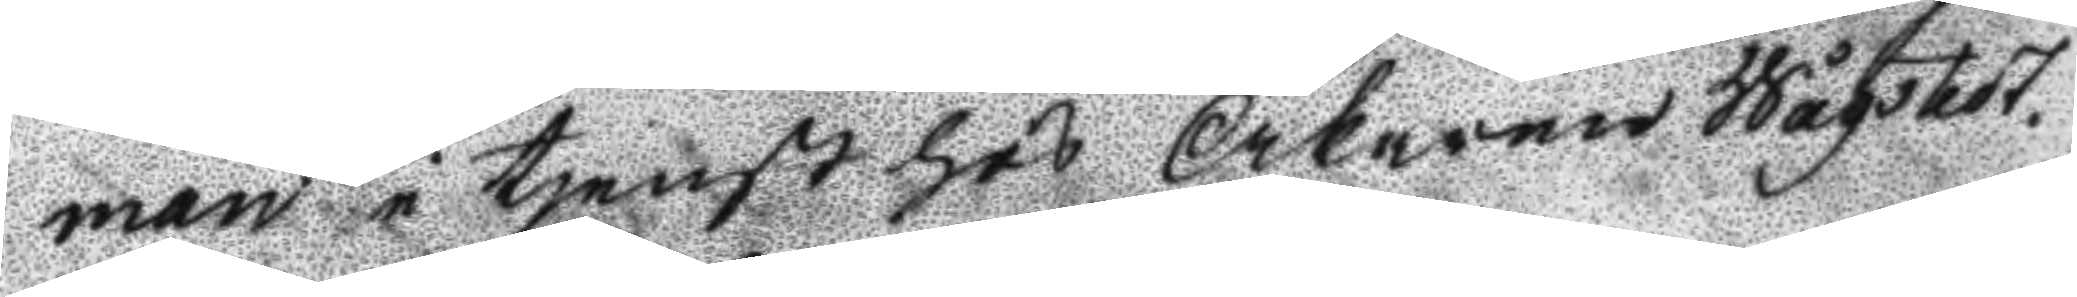man i tjenst hos Åkaren Wågskot.
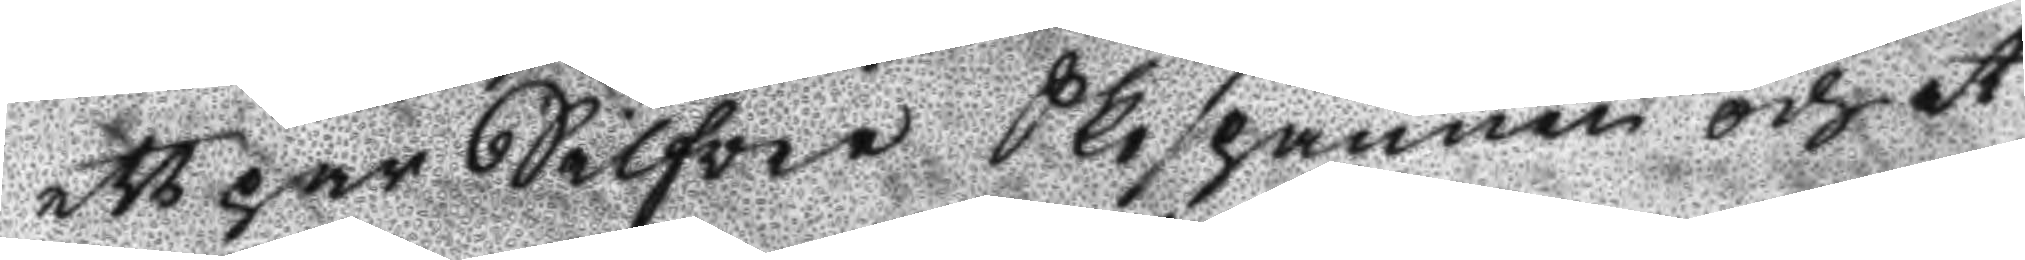ett par Silfver Skospännen och et
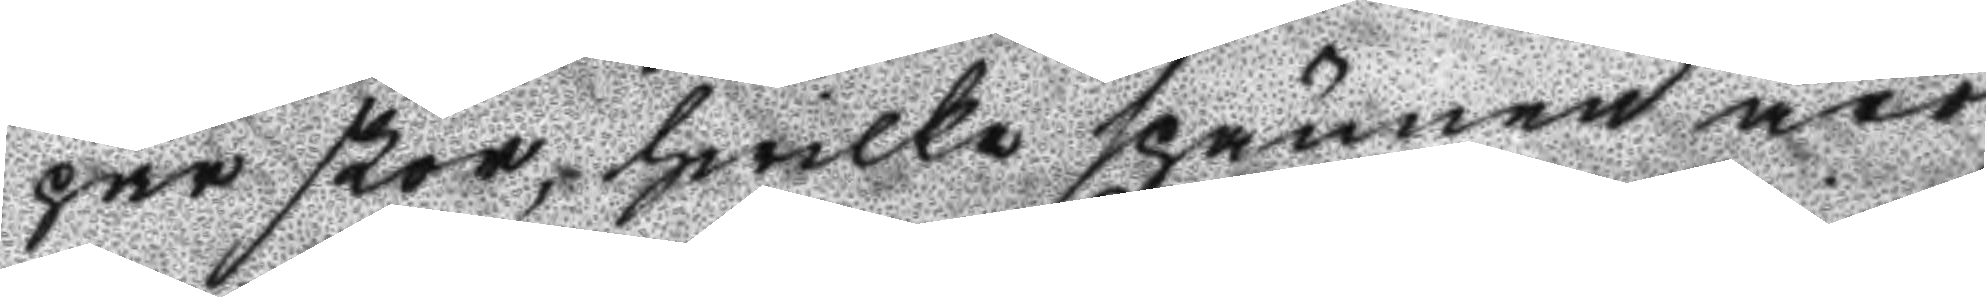par skor, hwilka spännen äro
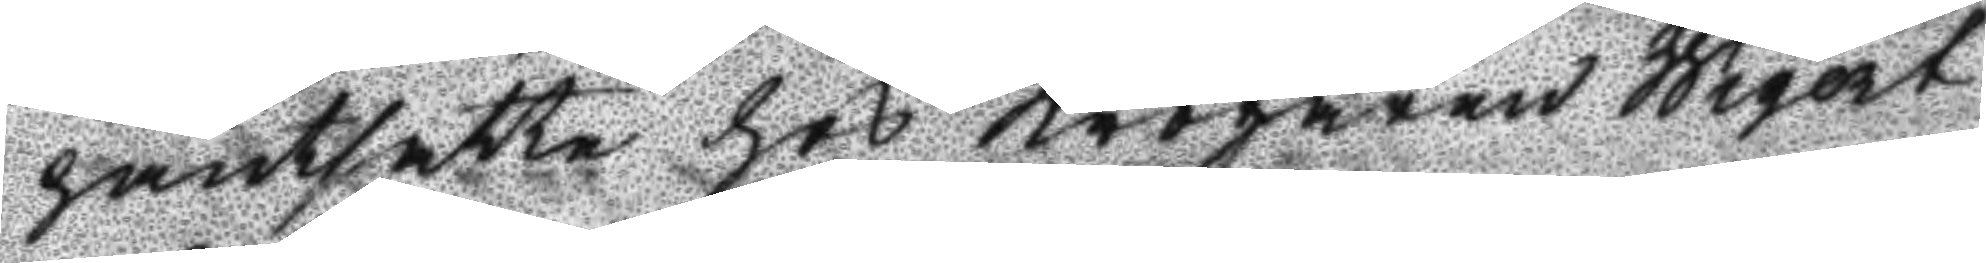pantsatta hos Krögaren Wigort
